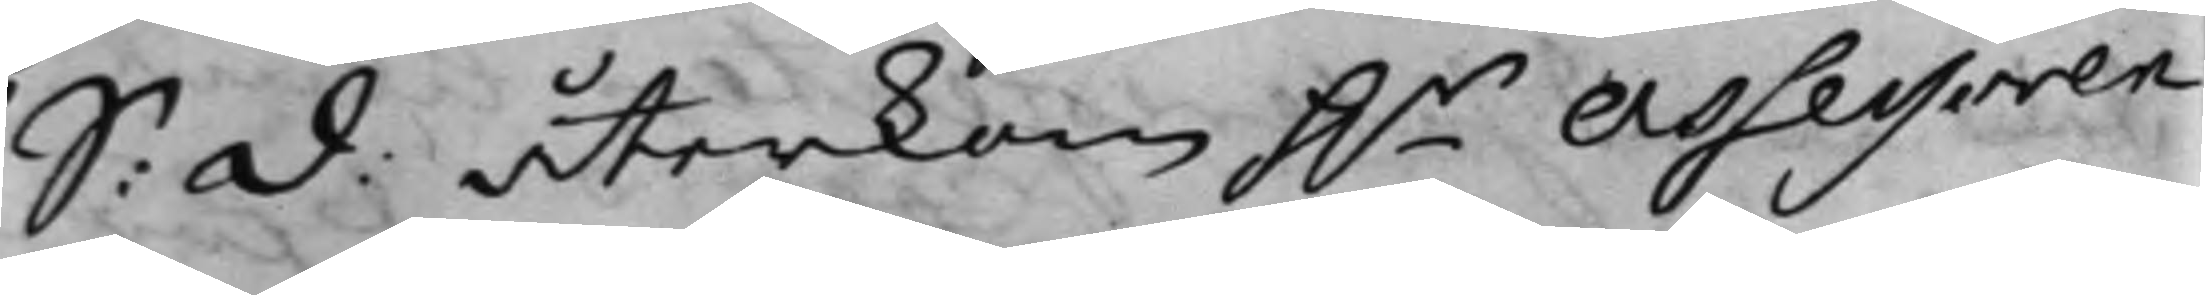S: D: återkom h.r Assessoren
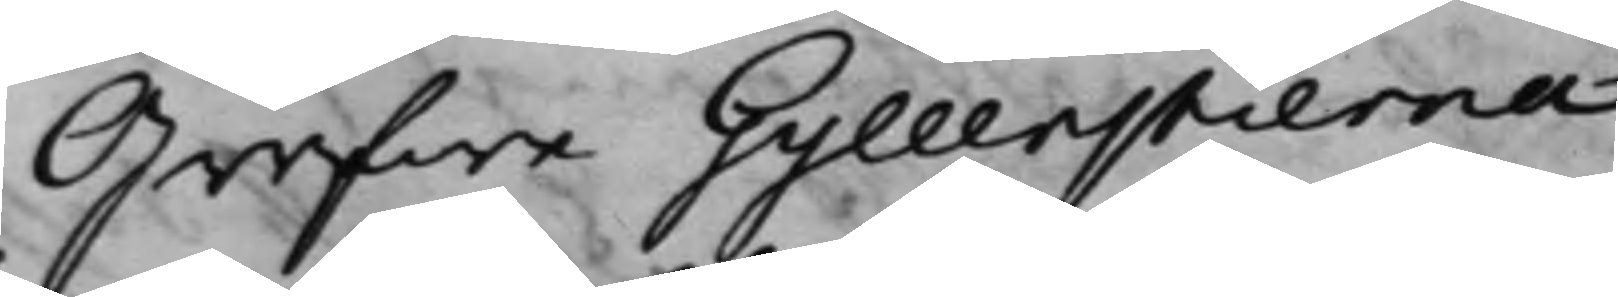Grefwe Gyllenstierna
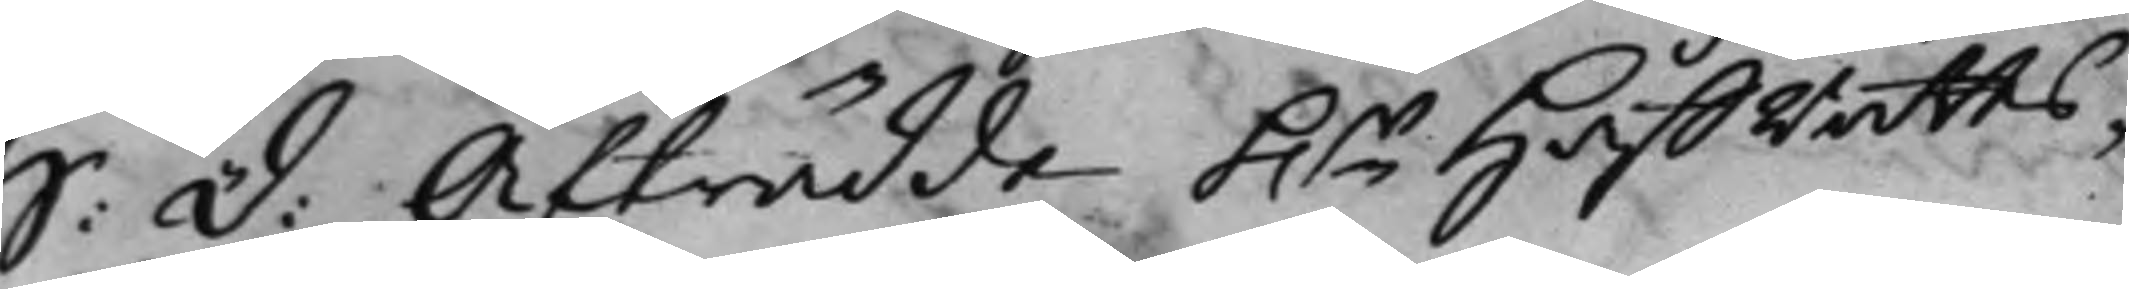S: D: Afträdde h.r Hoffrätts¬
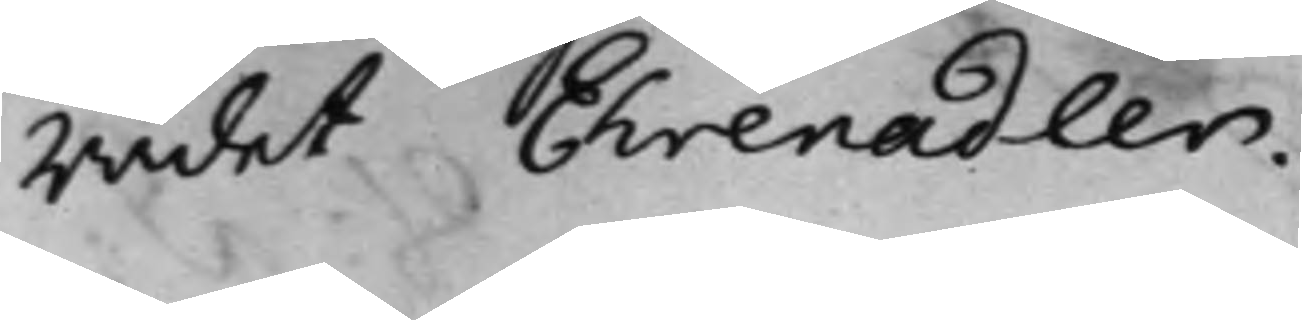rådet Ehrenadler.
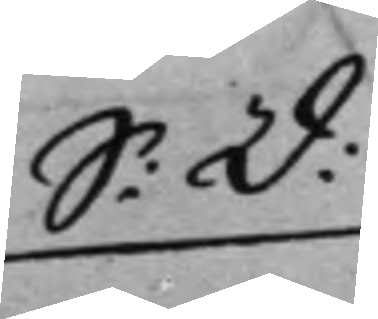S: D:
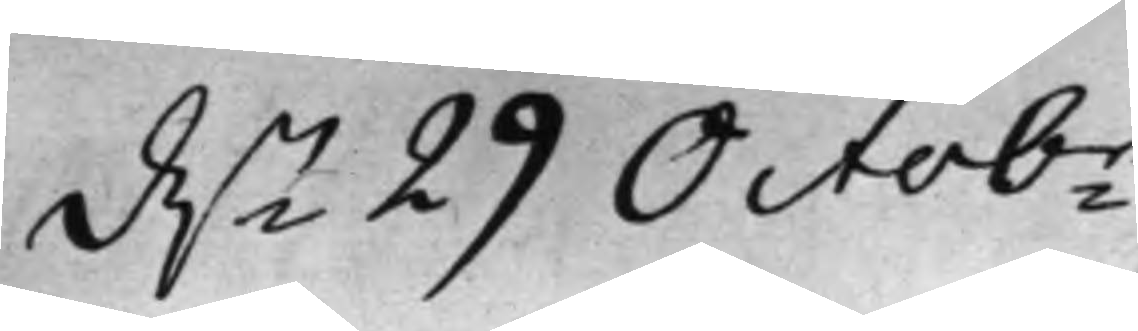d.n 29 Octobr.
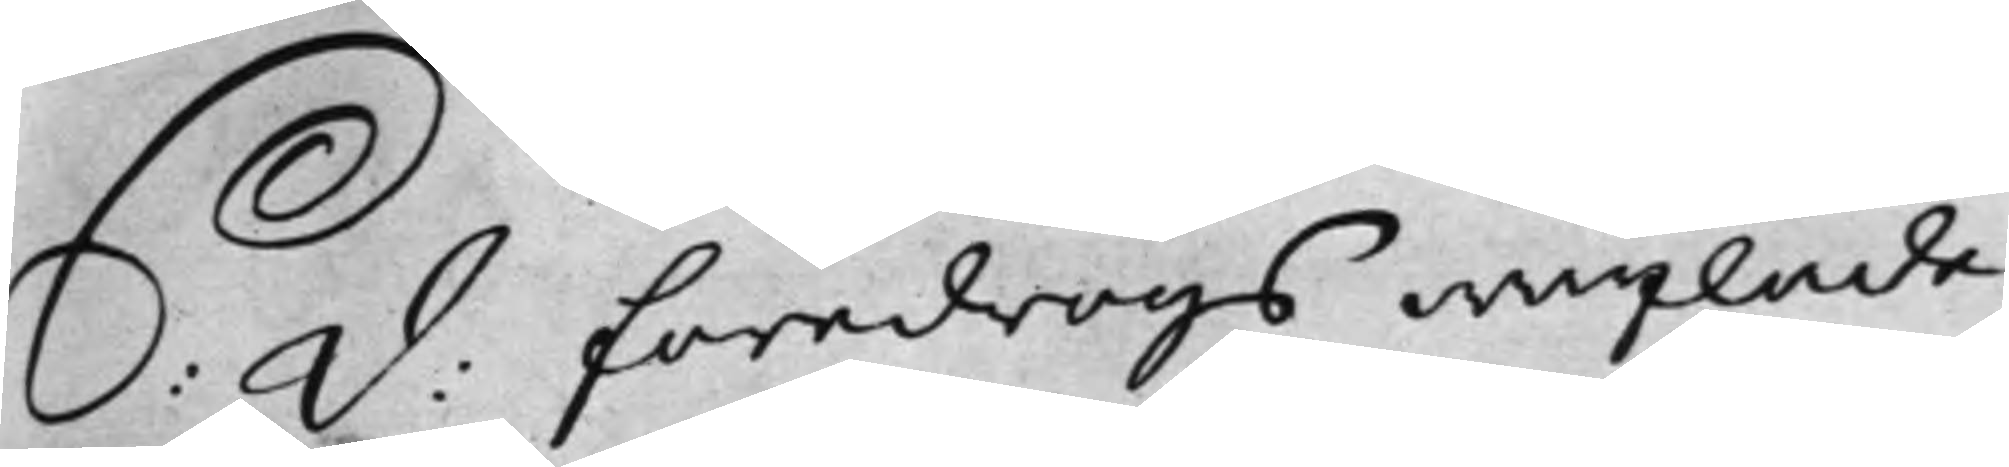S: D: föredrogs wäxlade
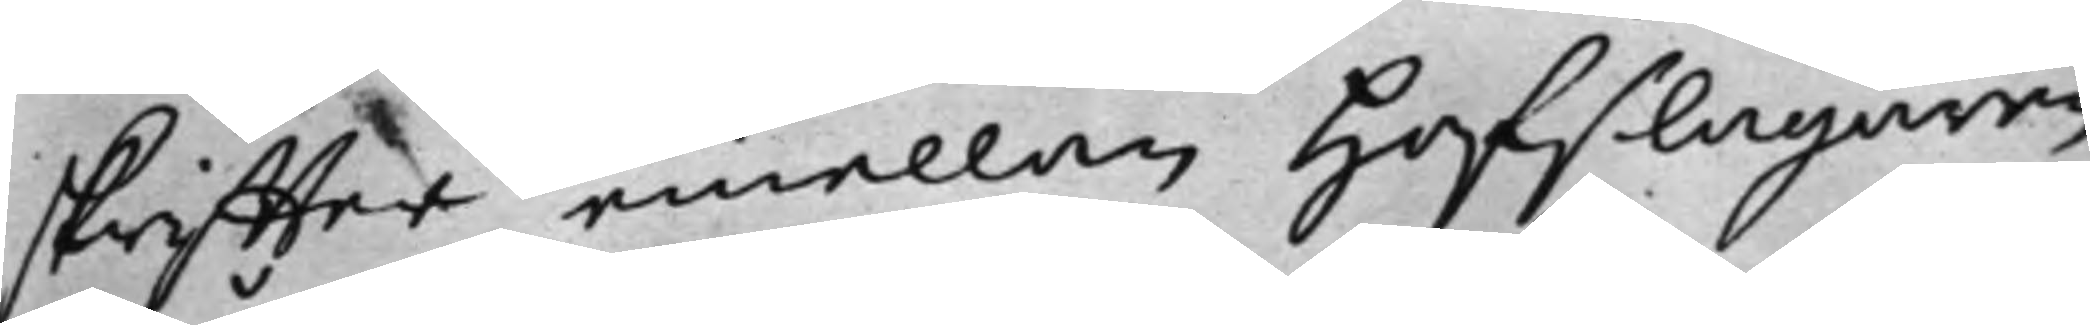skriffter emellan Hofslagaren
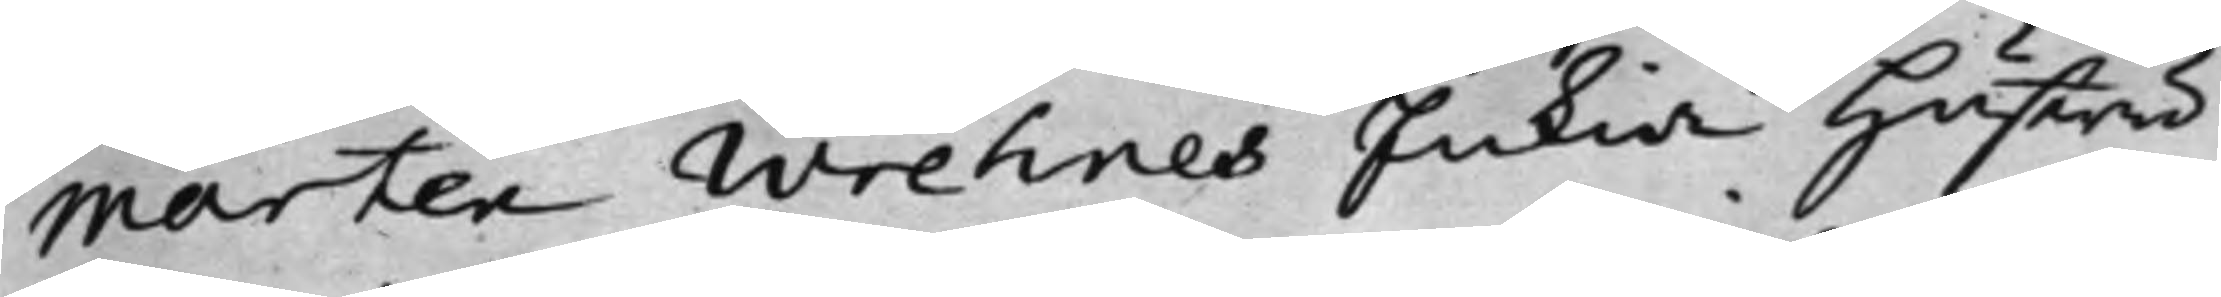Mårten Wrehnes Enkia Hustru
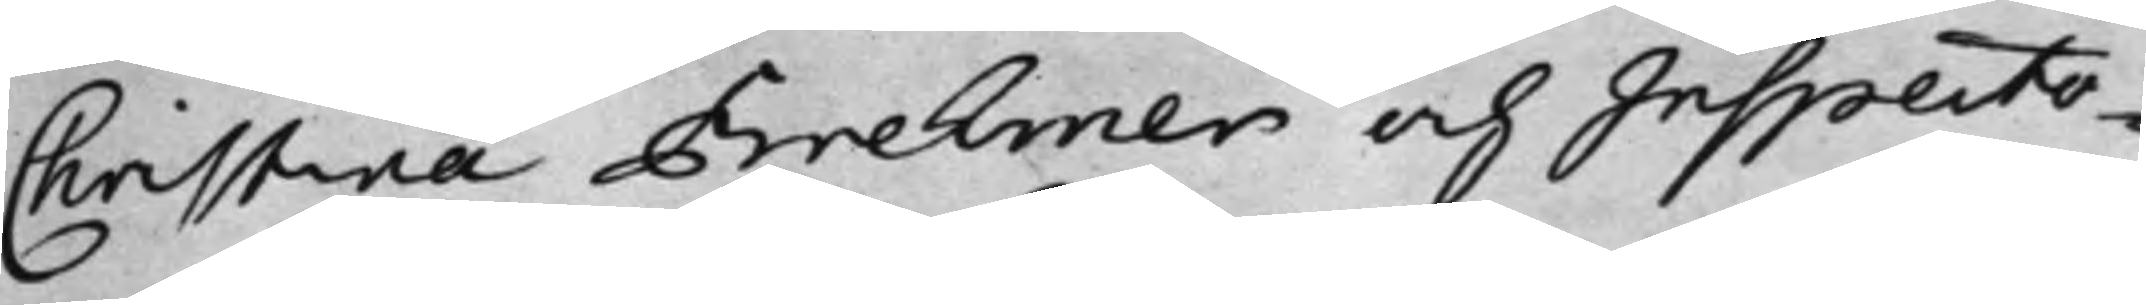Christina Brehmer och Inspecto¬
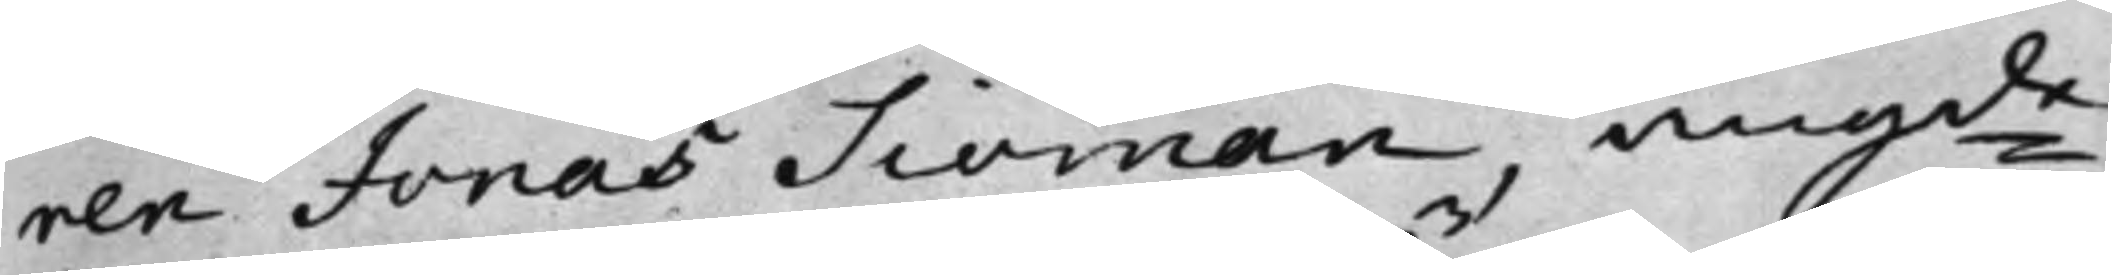ren Jonas Siöman, angde
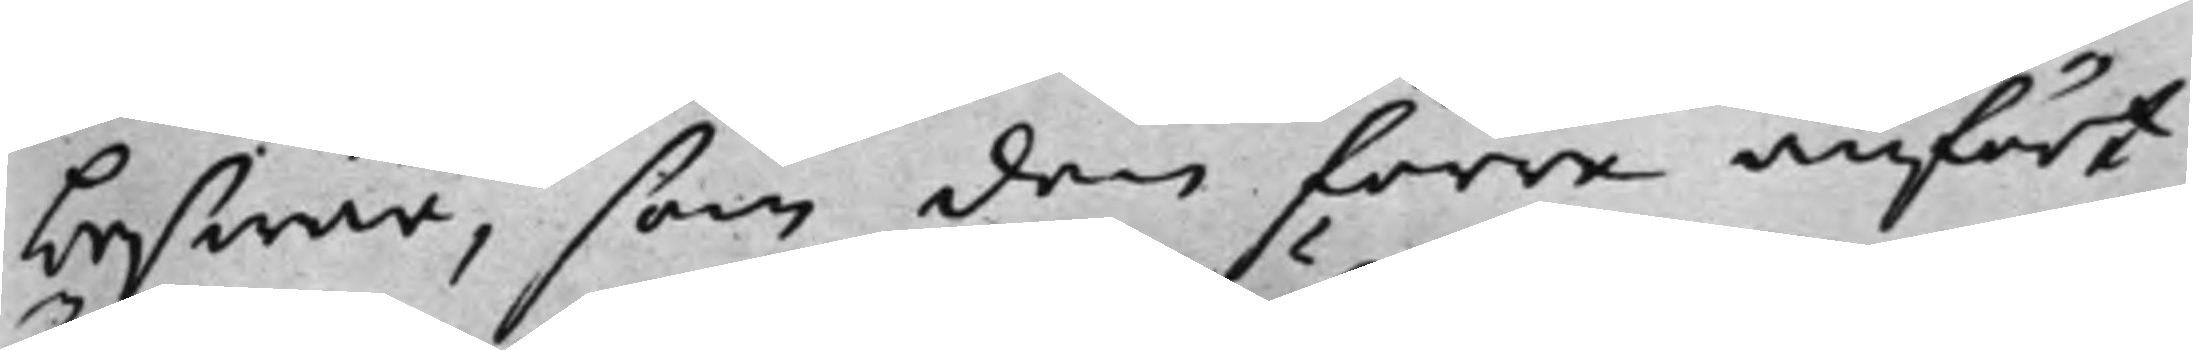beswär, som den förre anfört
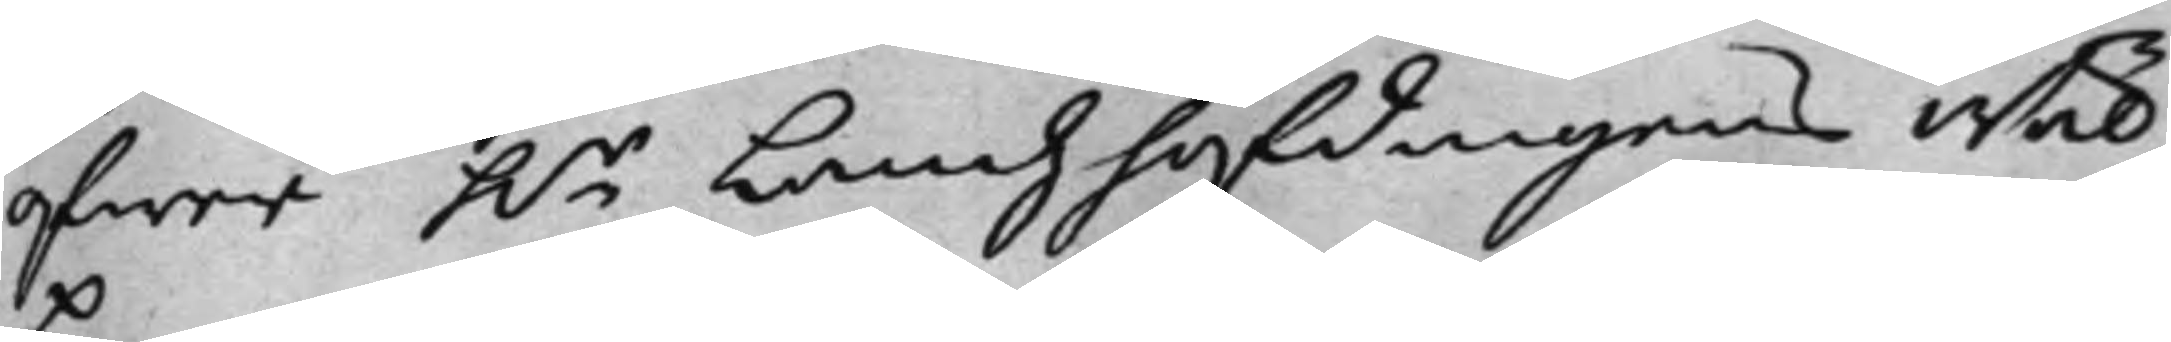öfwer h.r Landzhöfdingens Wäl¬
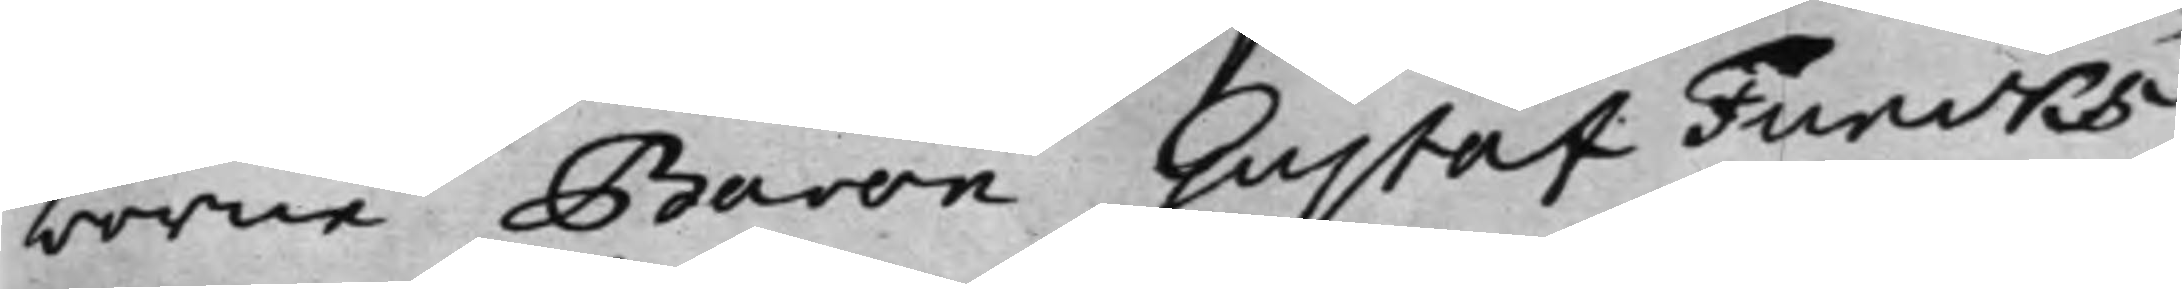borne Baron Gustaf Funcks
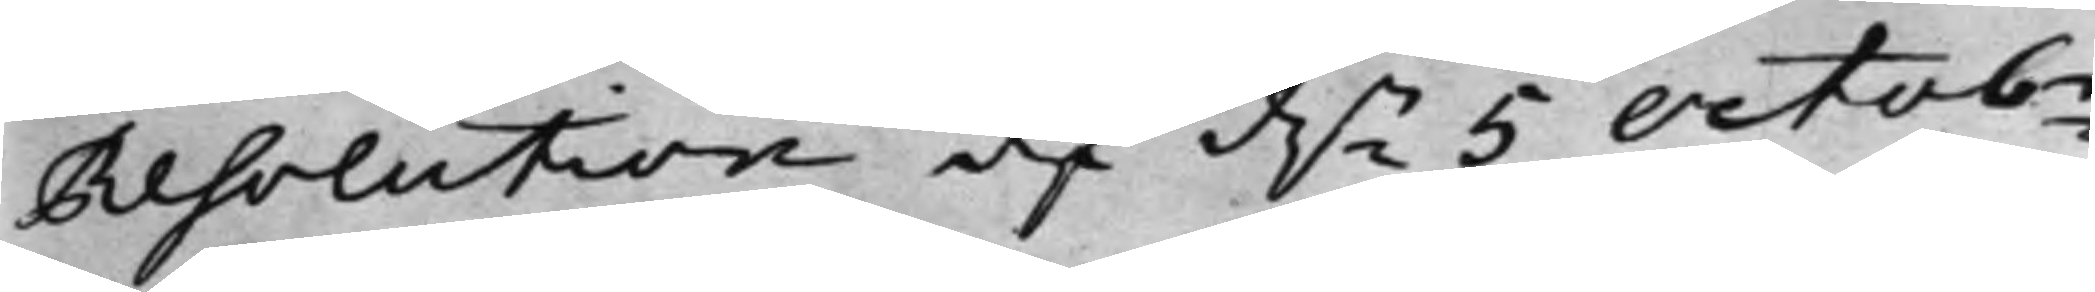Resolution af d.n 5 Octobr
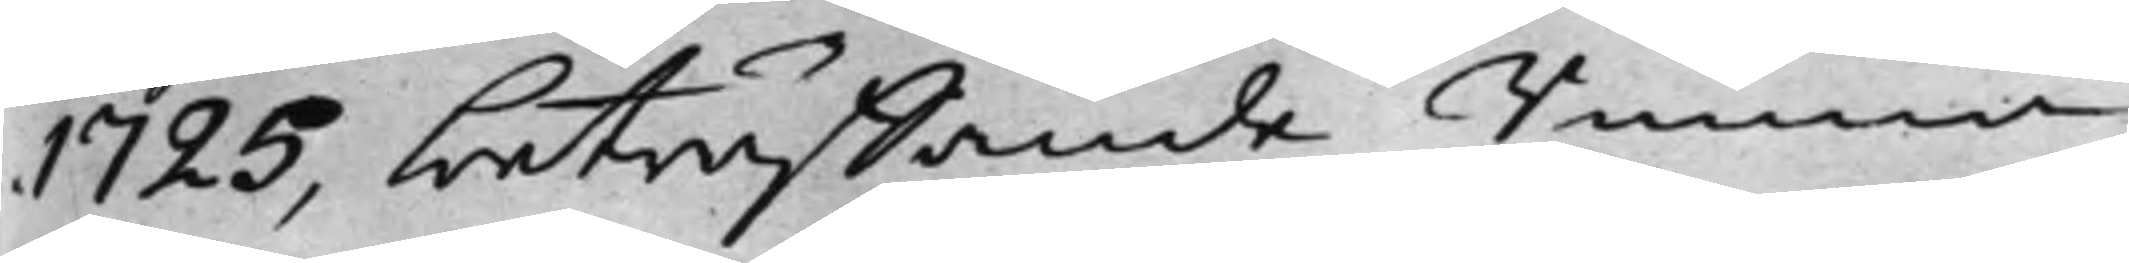1725, beträffande Runna
